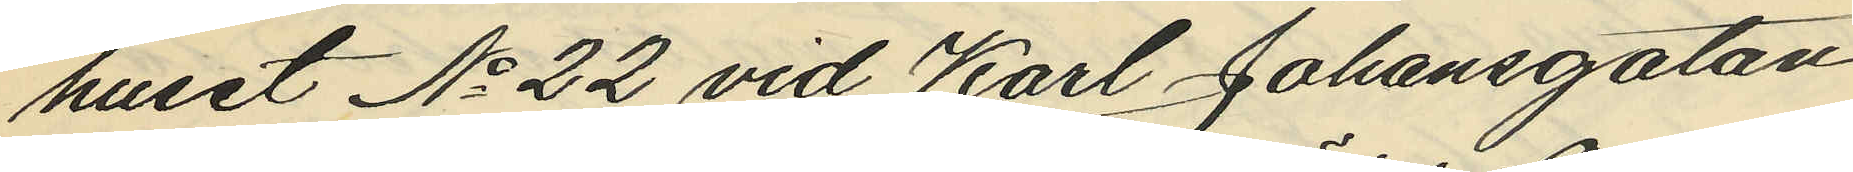huset No 22 vid Karl Johansgatan
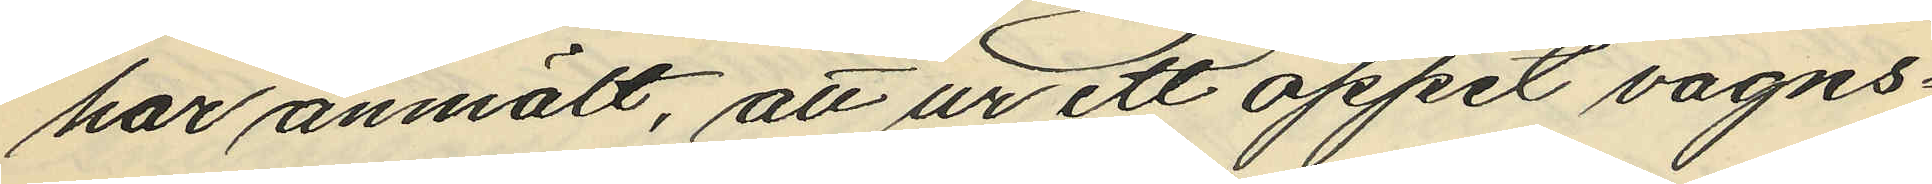har anmält, att ur ett öppet vagns¬
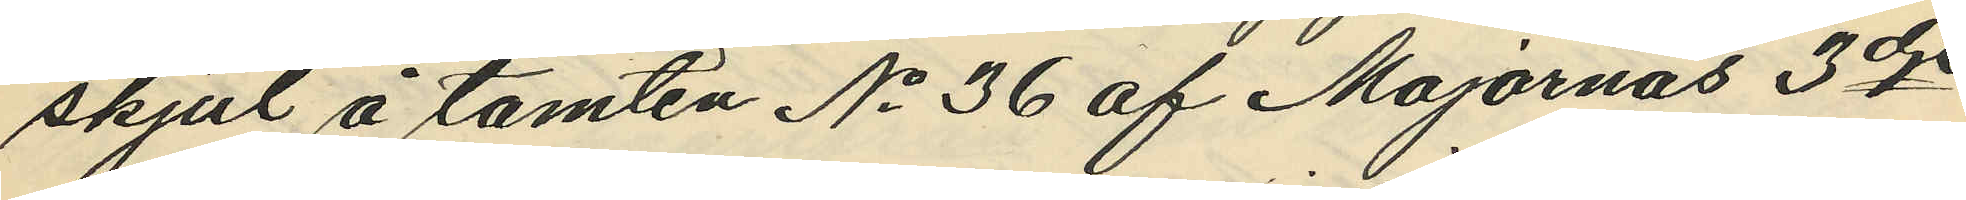skjul å tomten No 36 af Majornas 3dje
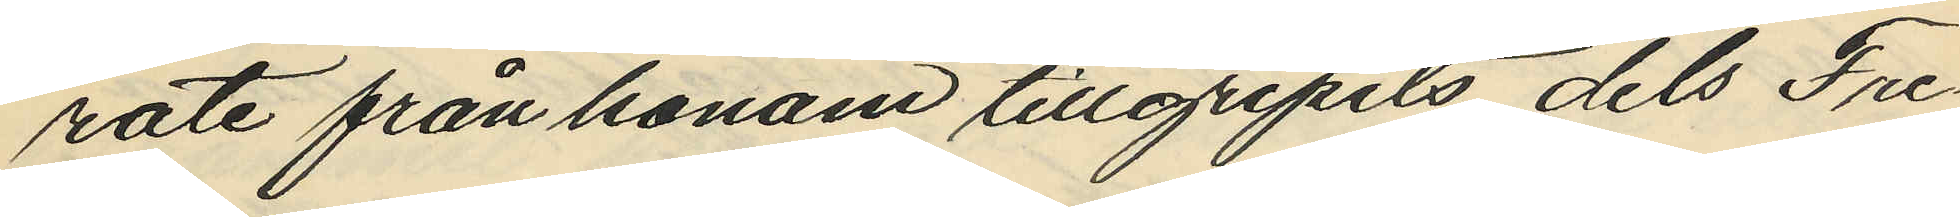rote från honom tillgripits dels Fre¬
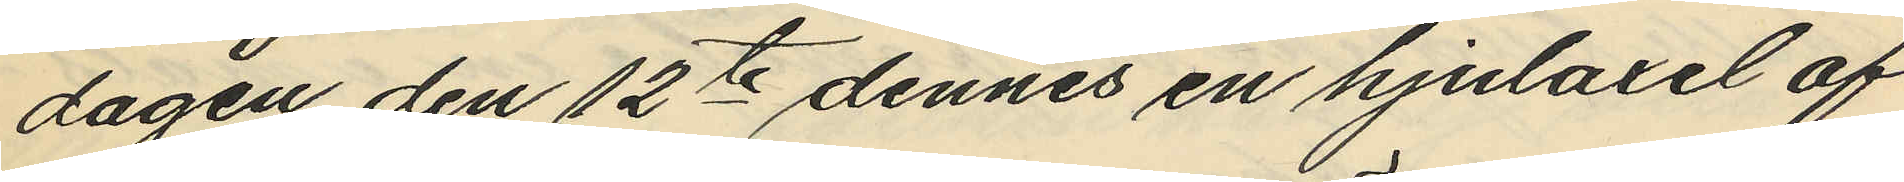dagen den 12te dennes en hjulaxel af
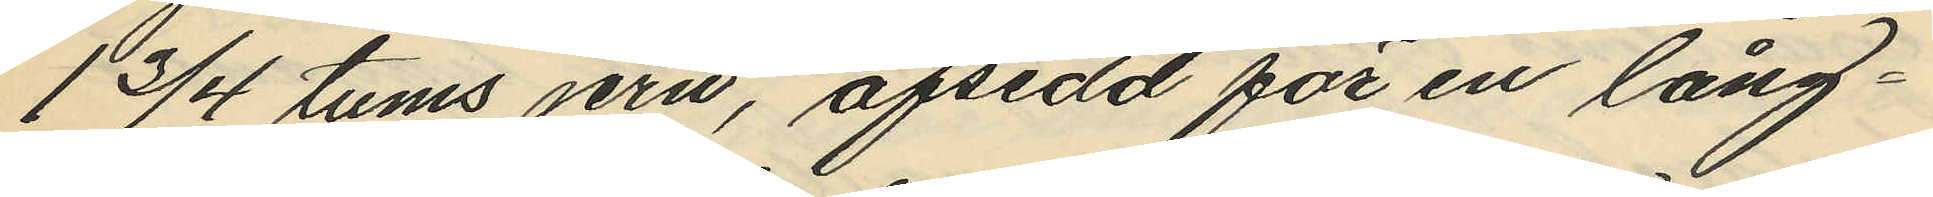1 3/4 tums jern, afsedd för en lång¬
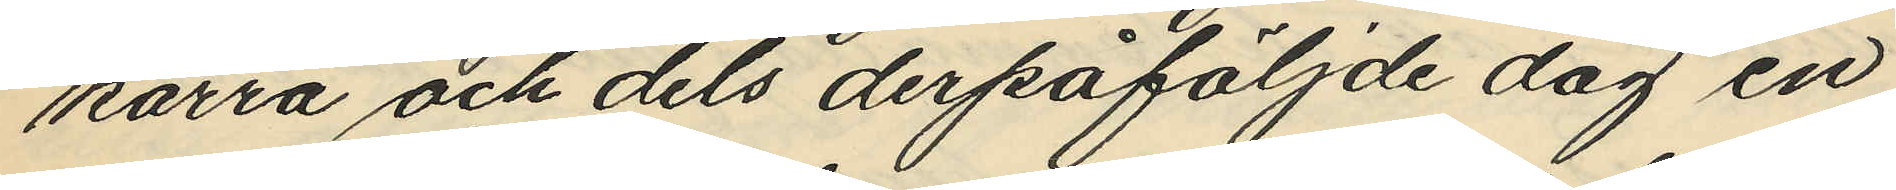kärra och dels derpåföljde dag en
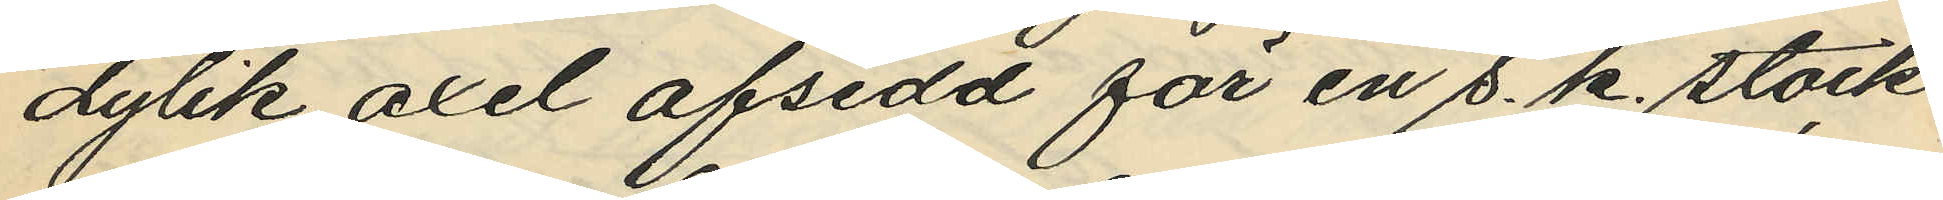dylik axel afsedd för en s. k. stock
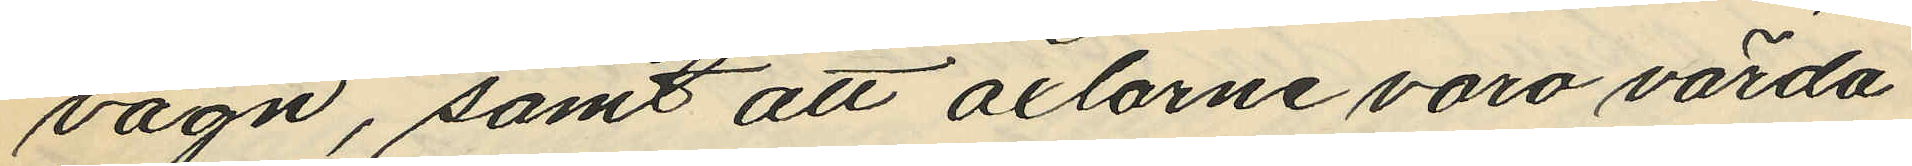vagn, samt att axlarne voro värda
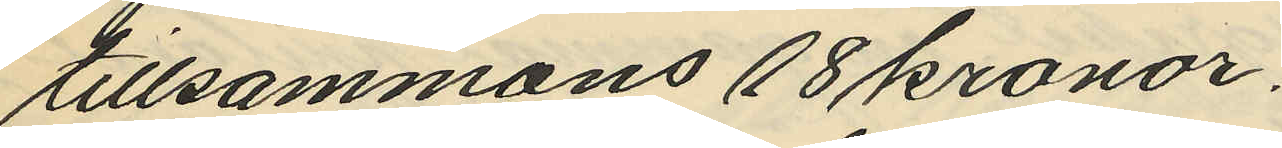tillsammans 18 kronor.
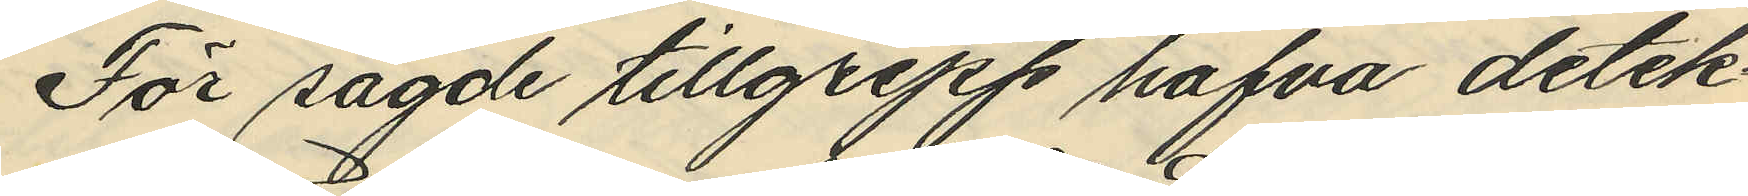För sagde tillgrepp hafva detek¬
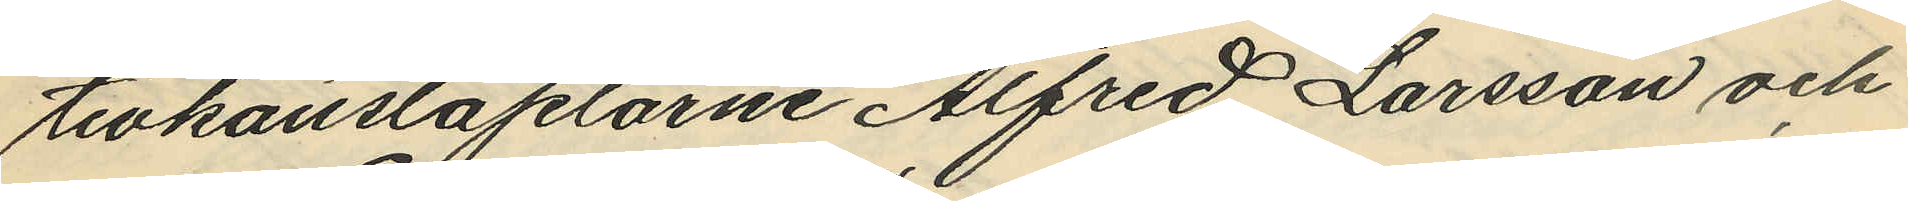tivkonstaplarne Alfred Larsson och
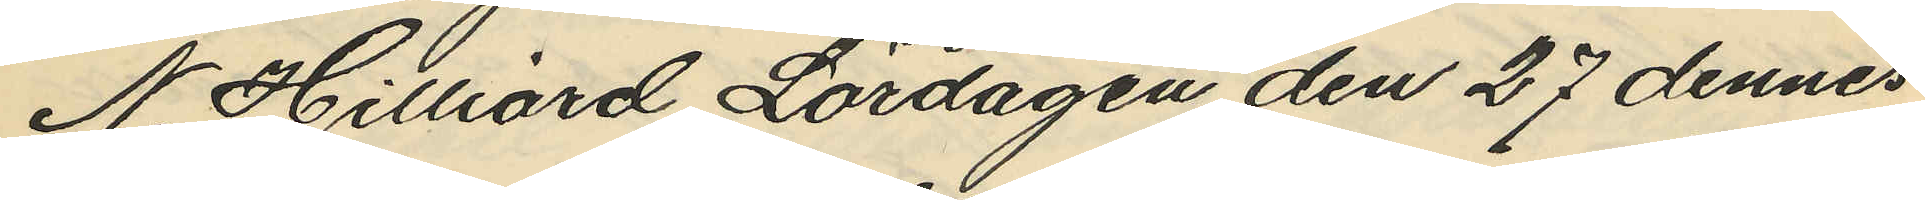N. Hilliard Lördagen den 27 dennes
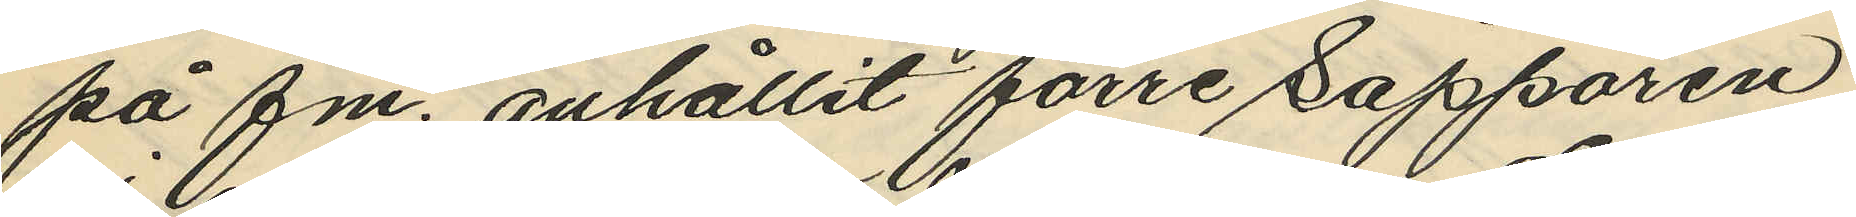på fm. anhållit förre Sappören
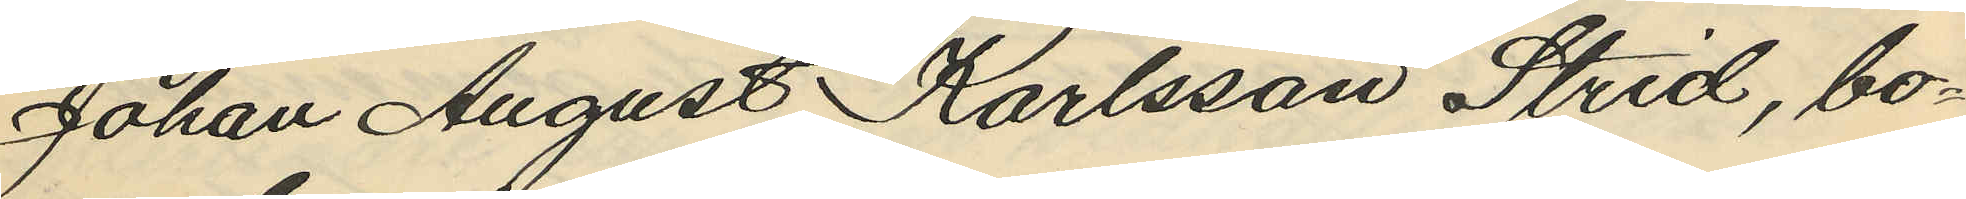Johan August Karlsson Strid, bo¬
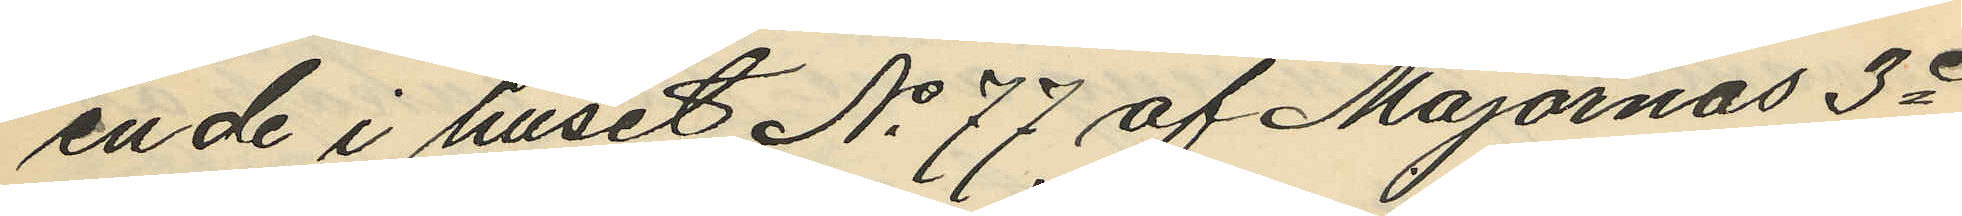ende i huset No 77 af Majornas 3e
